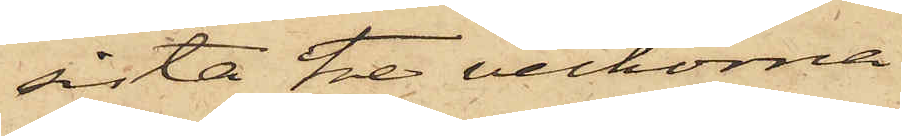sista tre veckorna
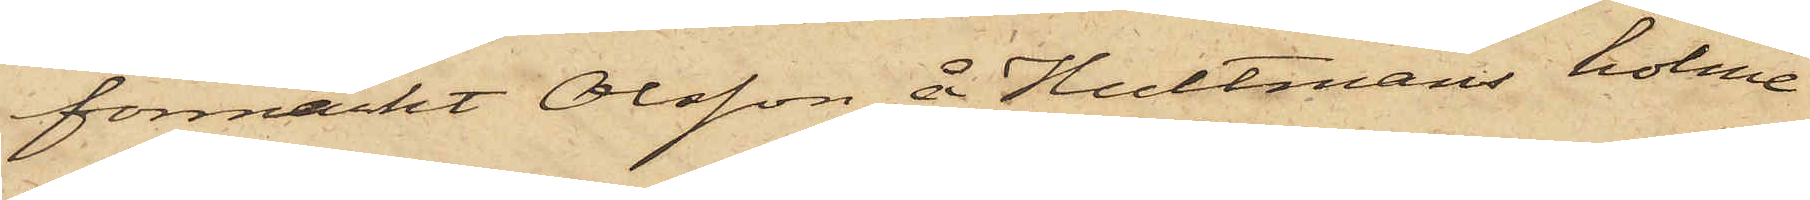förmärkt Olsson å Hultmans holme
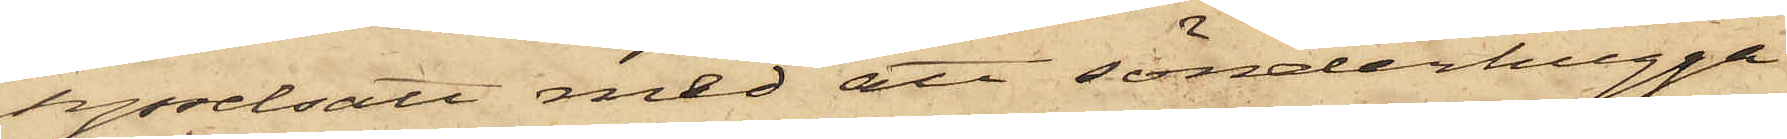sysselsatt med att sönderhugga
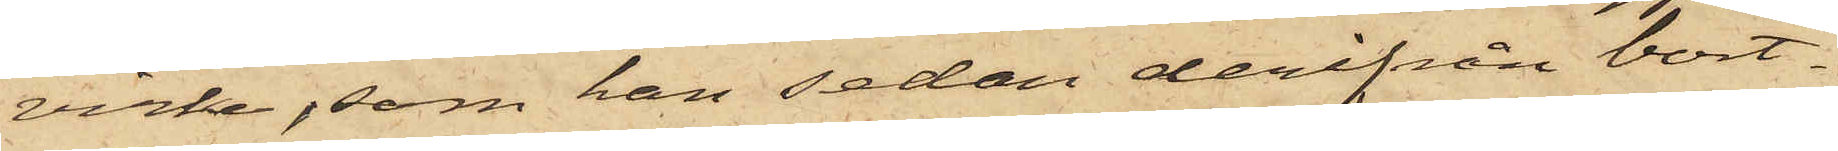virke, som han sedan derifrån bort¬
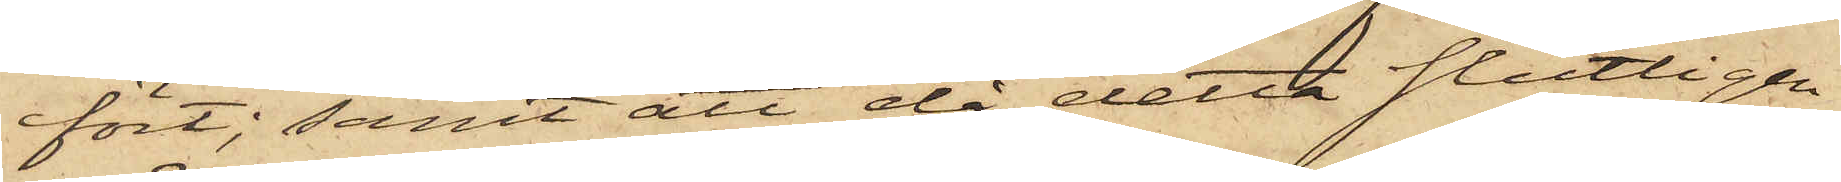fört; samt att då detta slutligen
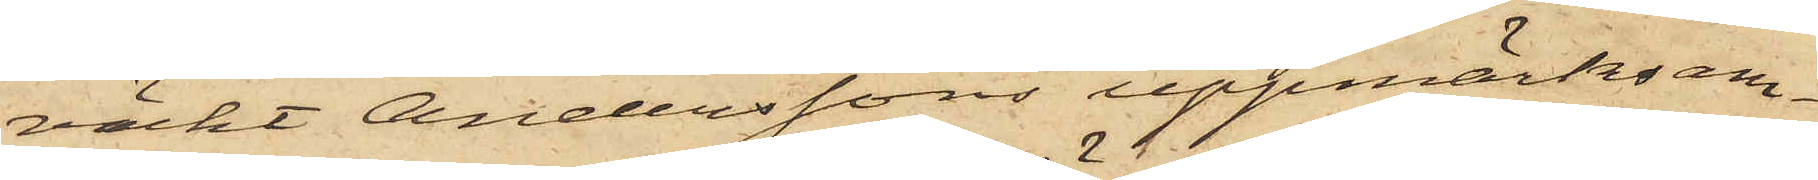väckt Anderssons uppmärksam¬
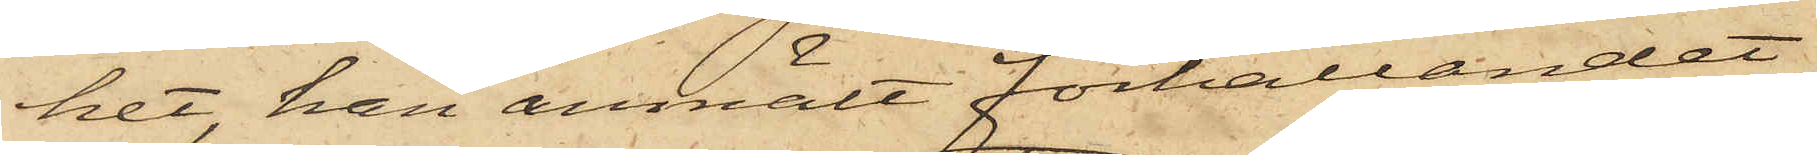het, han anmält förhållandet
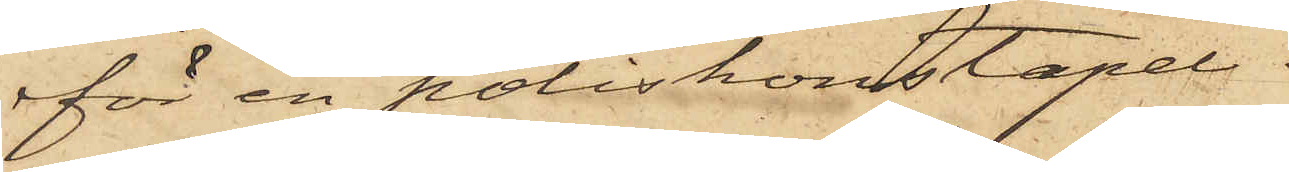för en poliskonstapel.
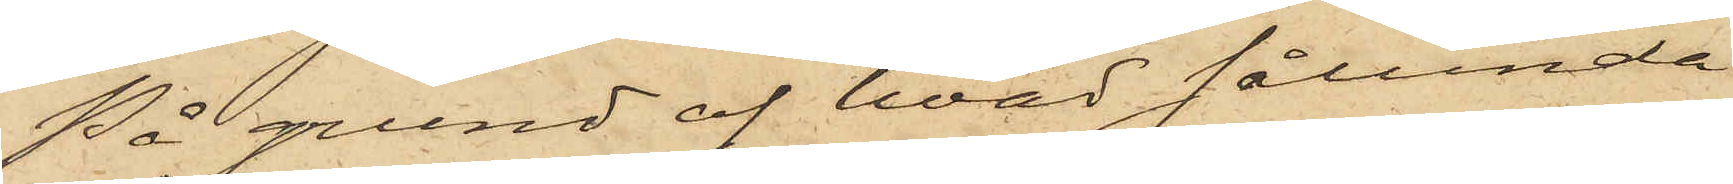På grund af hvad sålunda
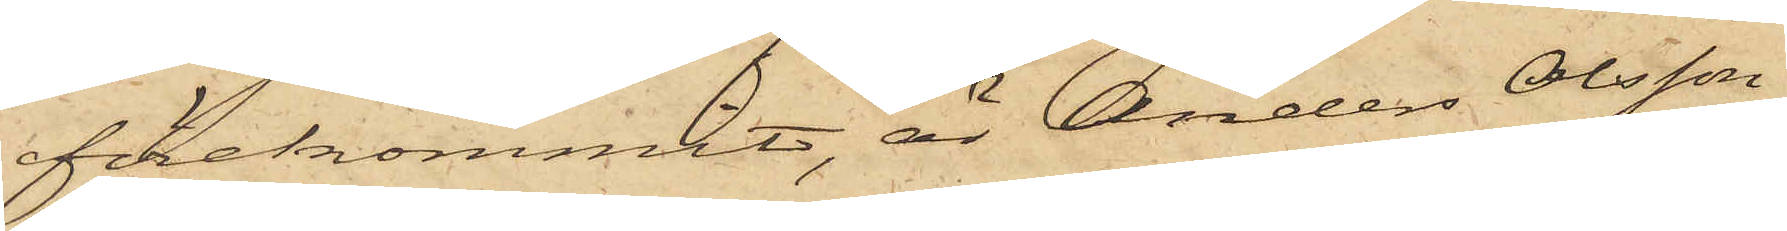förekommit, är Anders Olsson
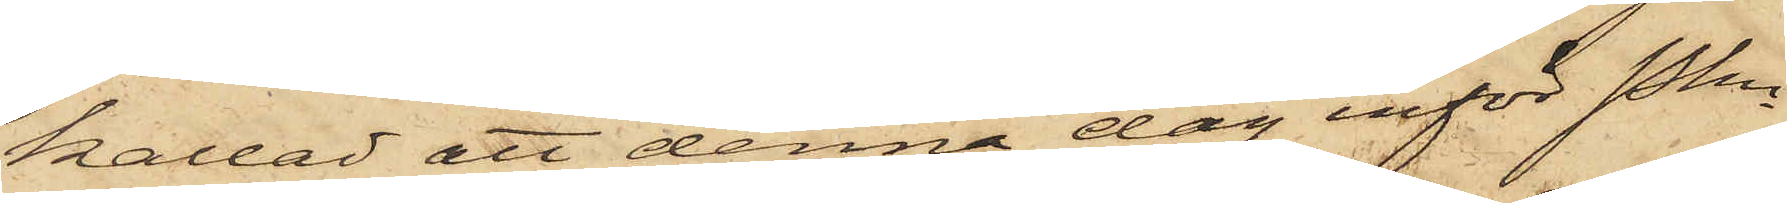kallad att denna dag inför Pkn
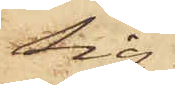sig
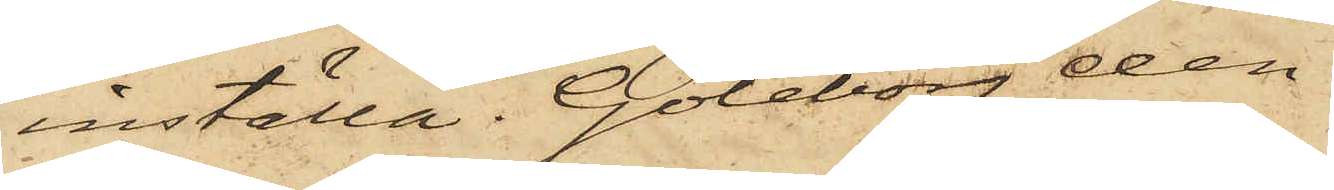inställa. Göteborg den
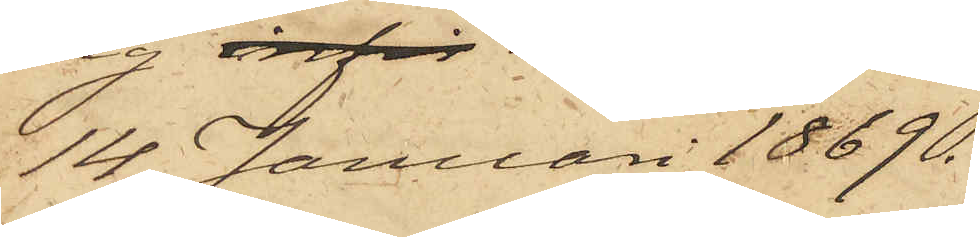14 Januari 1869.
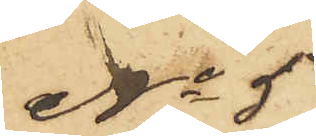No 5
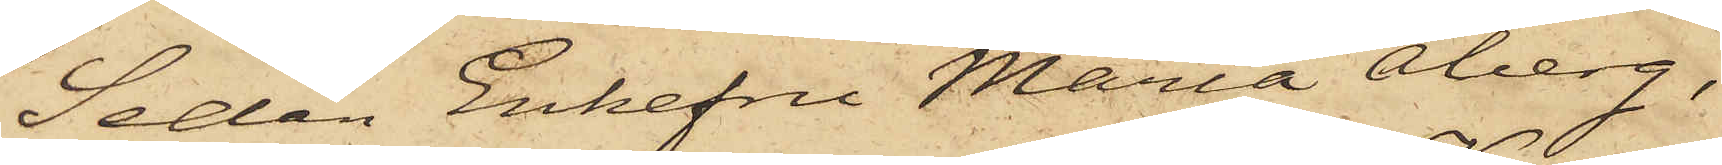Sedan Enkefru Maria Åberg,
